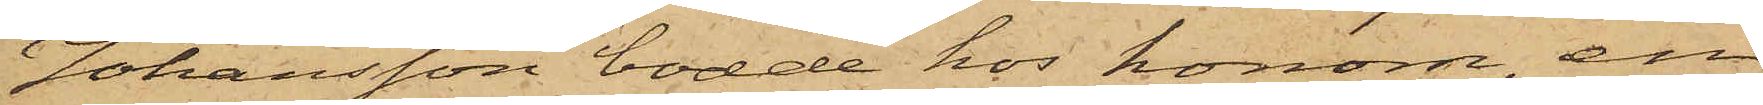Johansson bodde hos honom, en
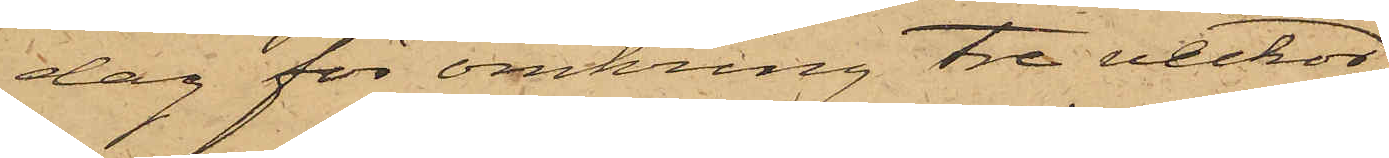dag för omkring tre veckor
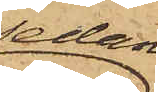sedan
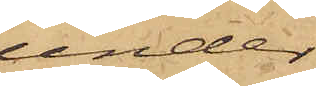under
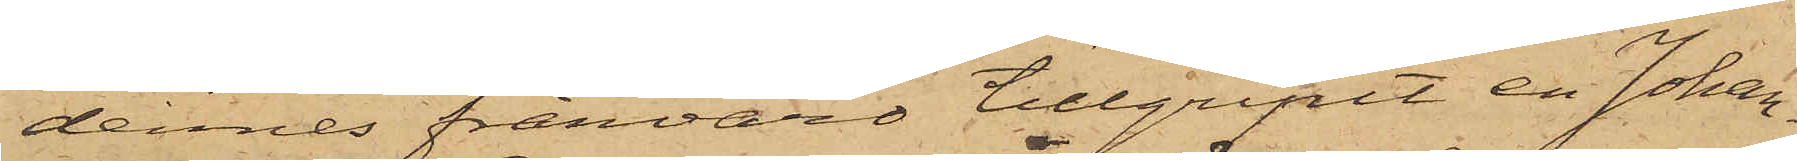dennes frånvaro tillgripit en Johan¬
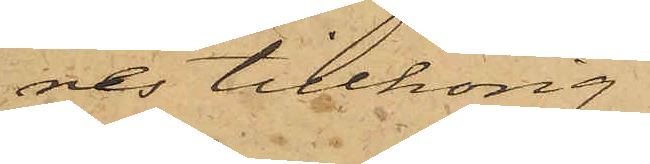nes tillhörig
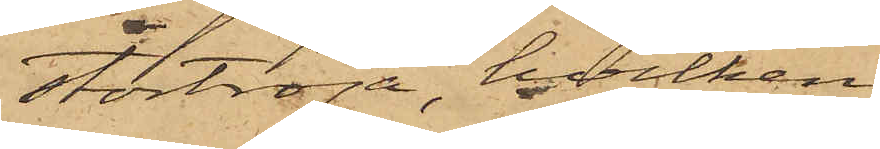stortröja, hvilken
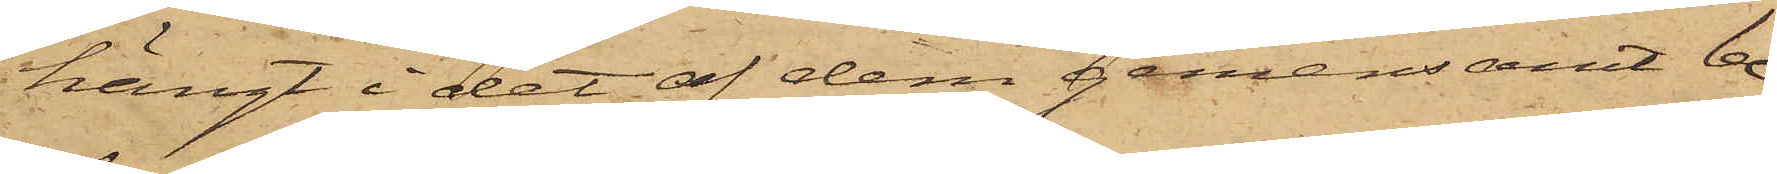hängt i det af dem gemensamt be¬
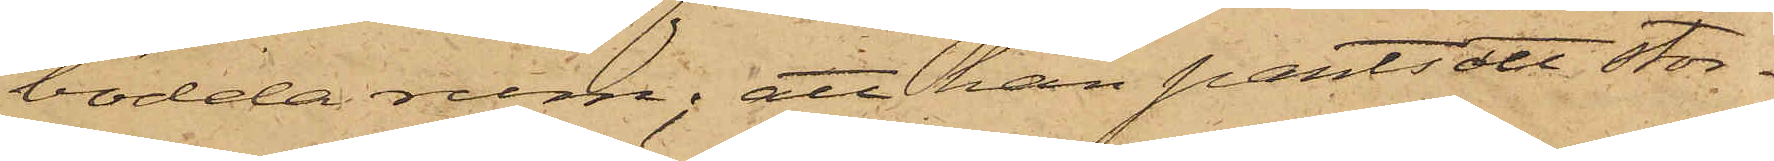bodda rum; att han pantsatt stor¬
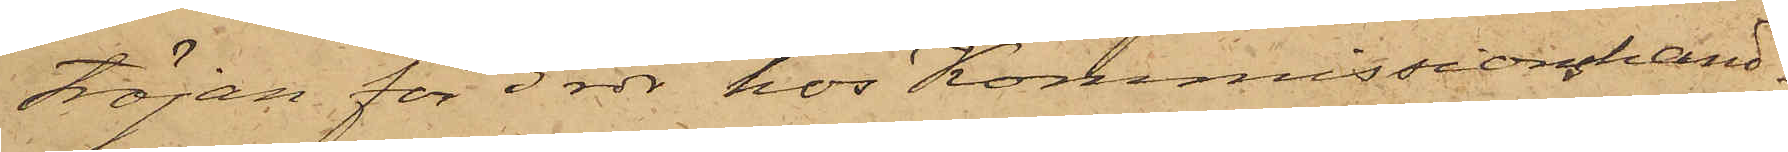tröjan för 3 rdr hos Kommissionshand¬
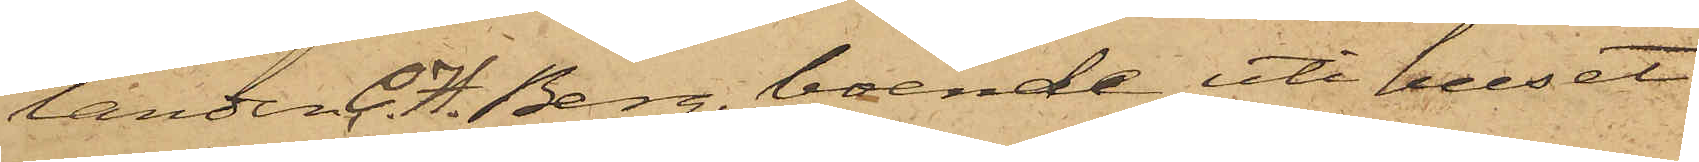landen C. H. Berg, boende uti huset
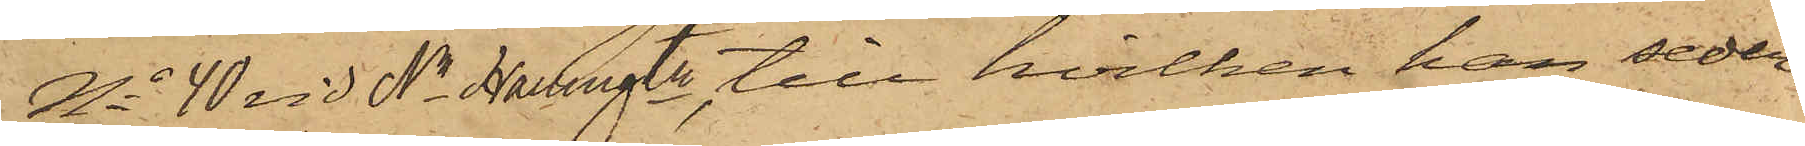No 40 vid Na Hamngtn, till hvilken han seder¬
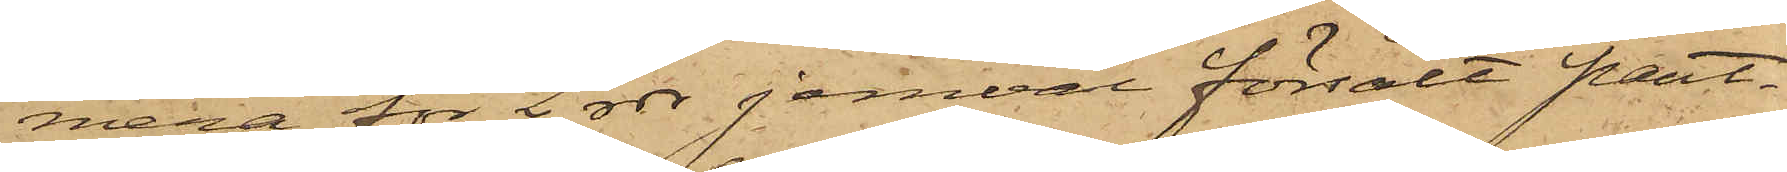mera för 2 rdr jemväl försålt pant¬
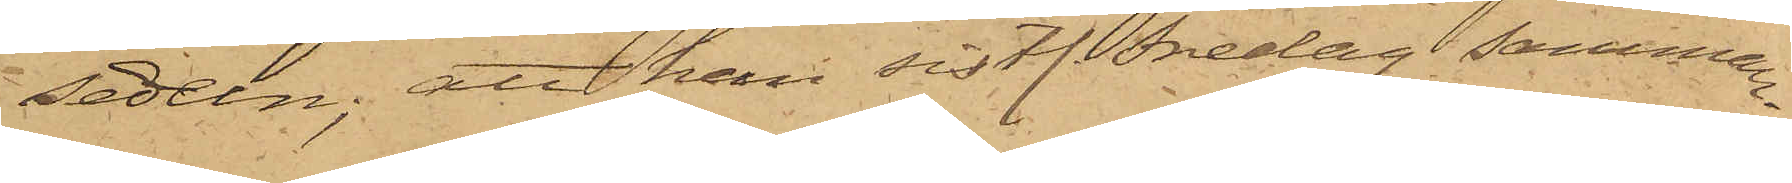sedeln; att han sistl. Fredag samman¬
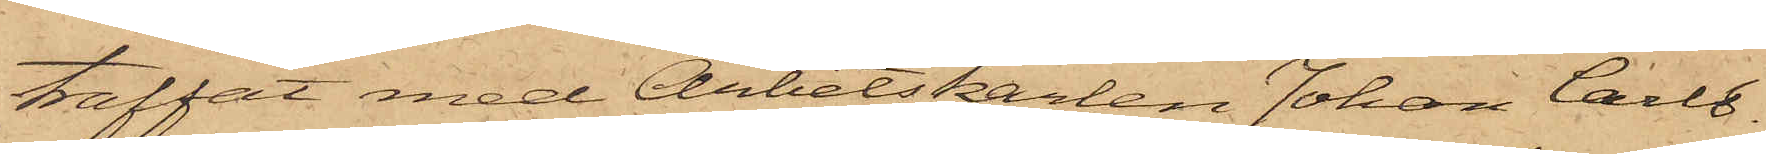träffat med Arbetskarlen Johan Carls¬
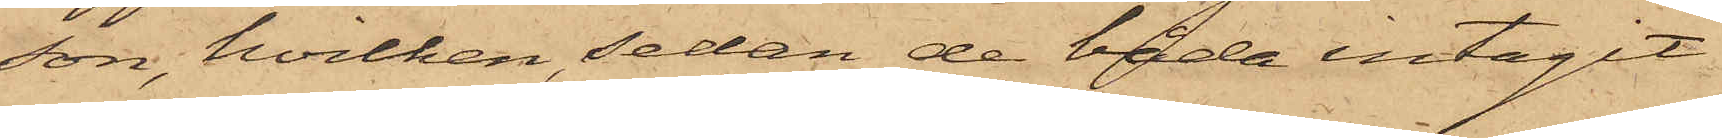son, hvilken sedan de båda intagit
